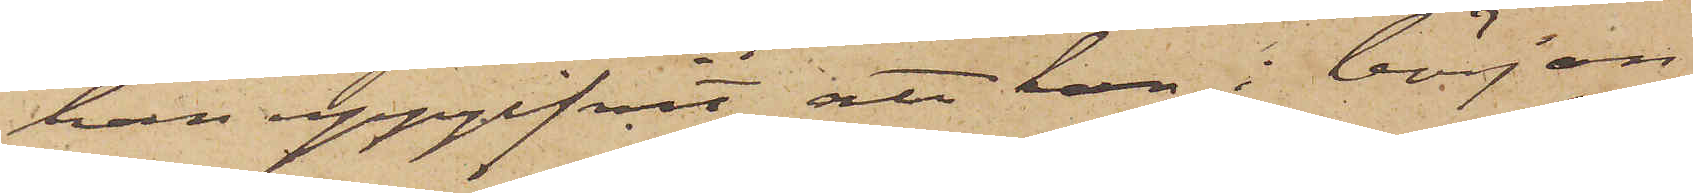han uppgifvit, att han i början
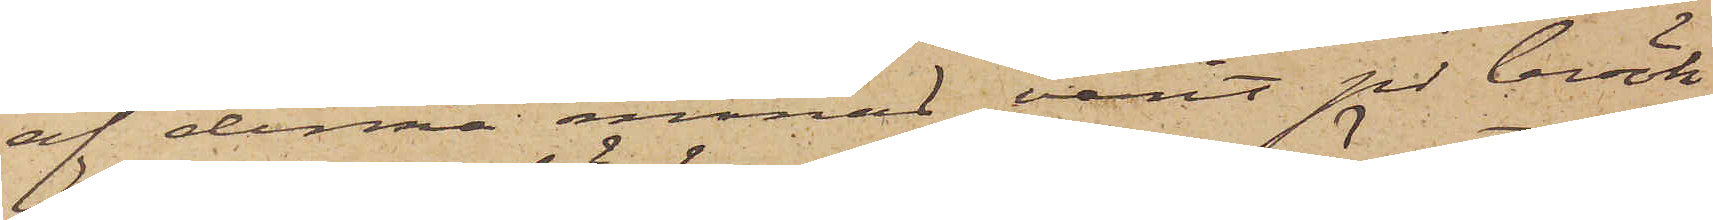af denna månad varit på besök
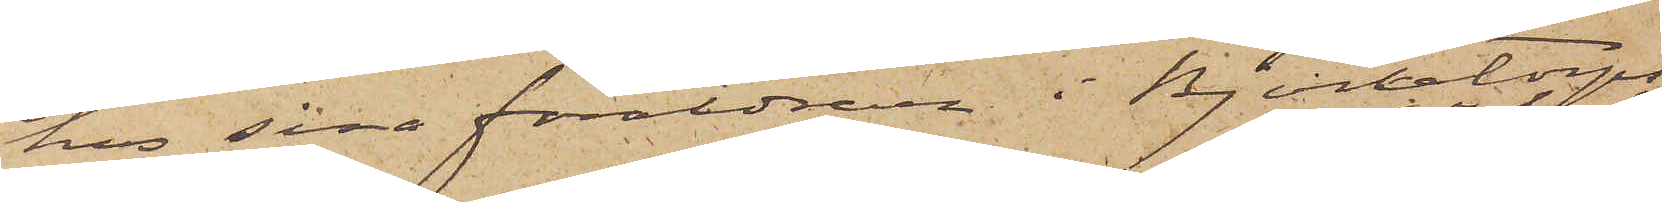hos sina föräldrar i Björketorps
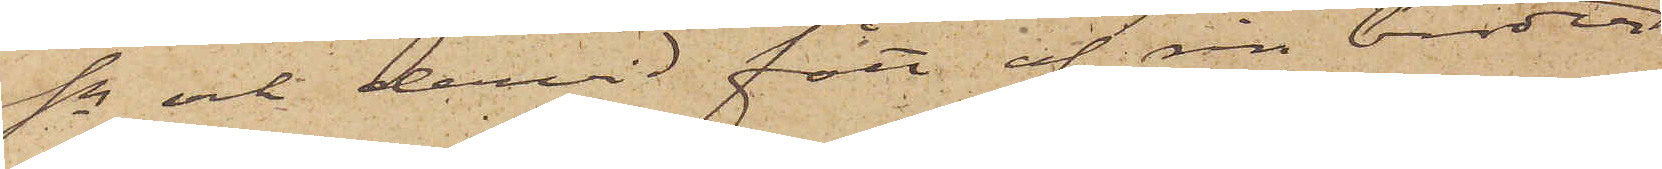sn och dervid fått af en broder
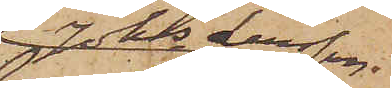Johs Larsson
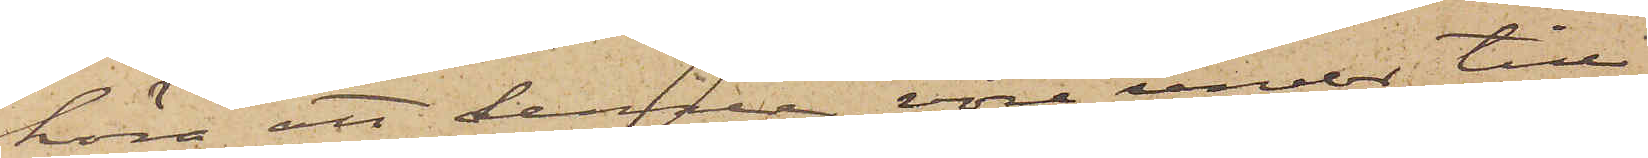höra att denne vore under till¬
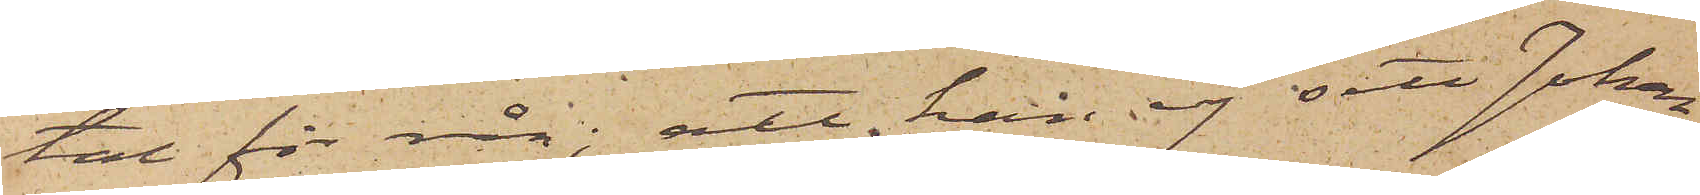tal för rån; att han ej sett Johan¬
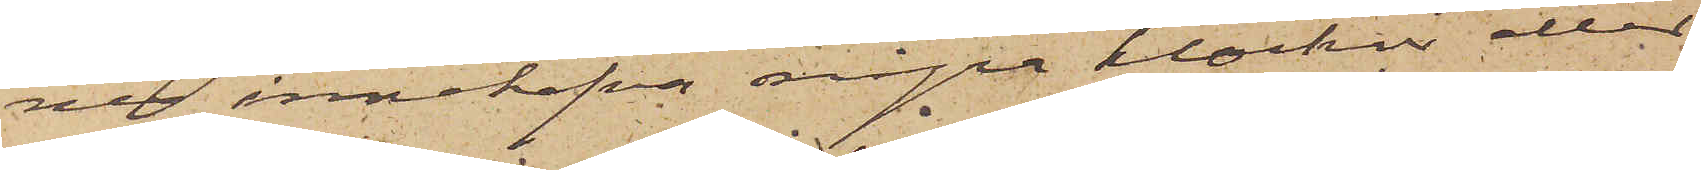nes innehafva några klockor eller
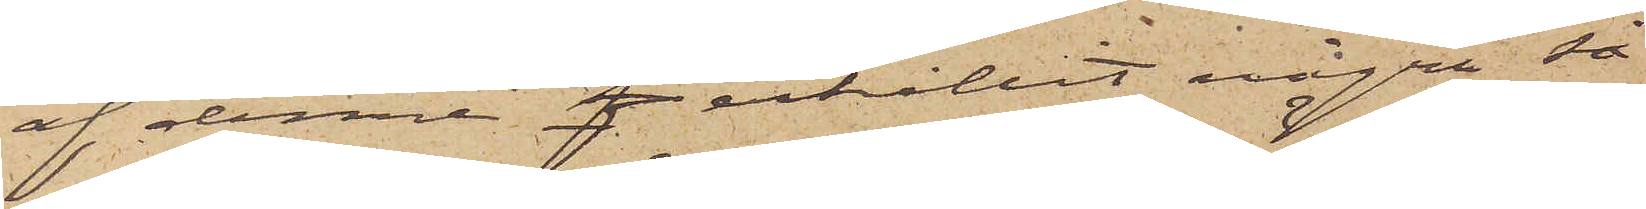af denne f erhållit några så¬
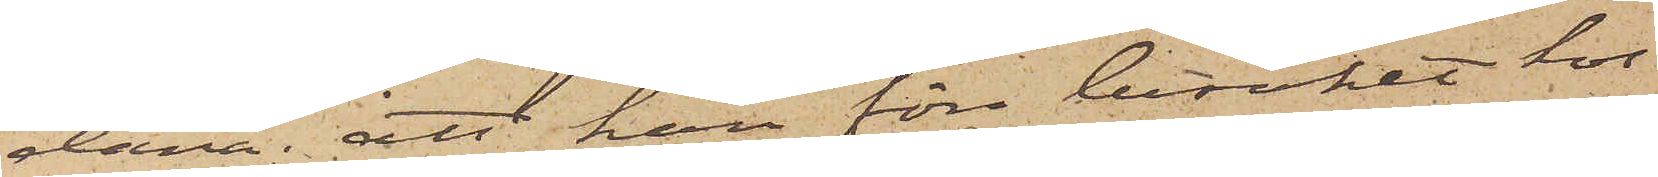dana; att han före besöket hos
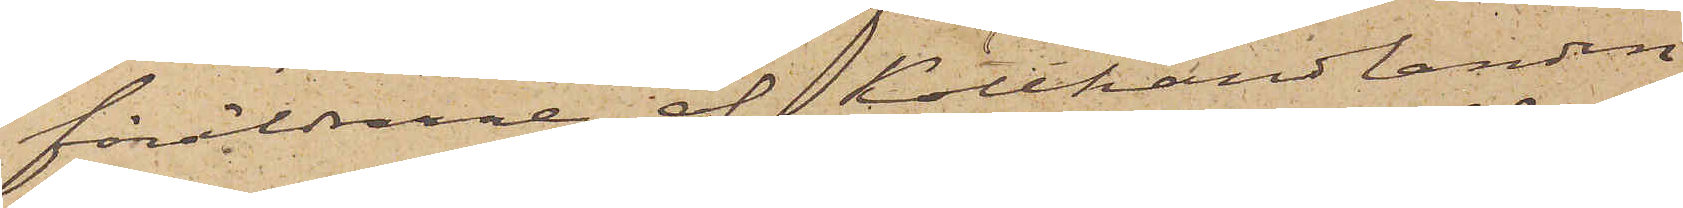föräldrarne af Kötthandlanden
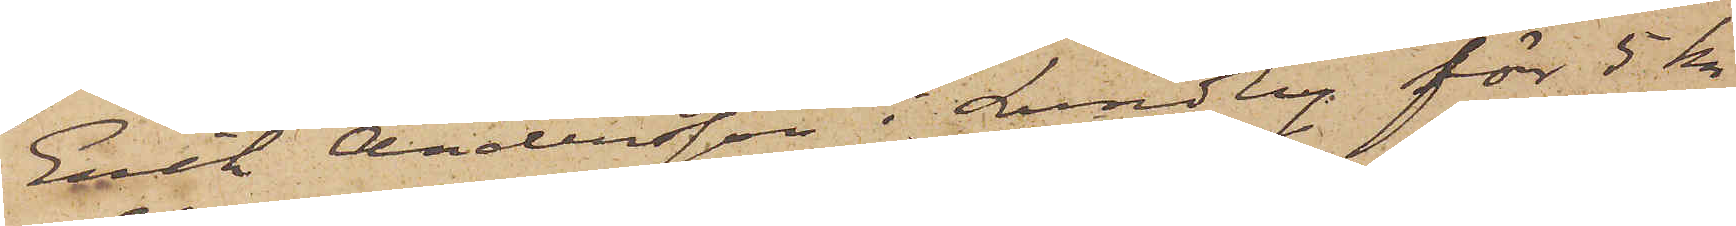Erik Andersson i Lundby för 5 kr
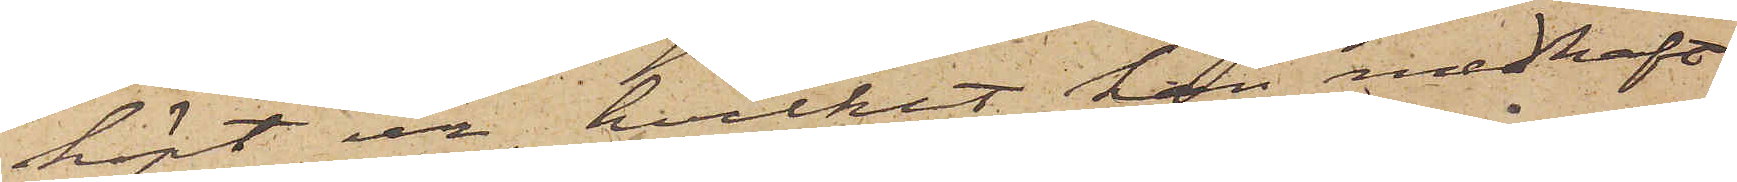köpt ur, hvilket han medhaft
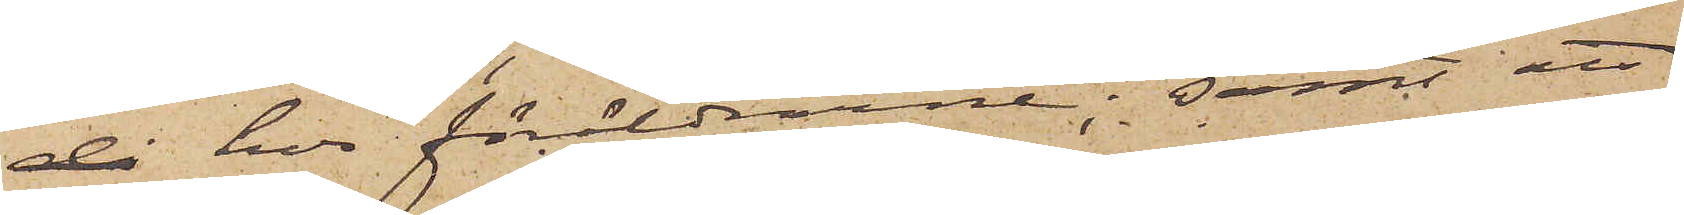då hos föräldrarne; samt att
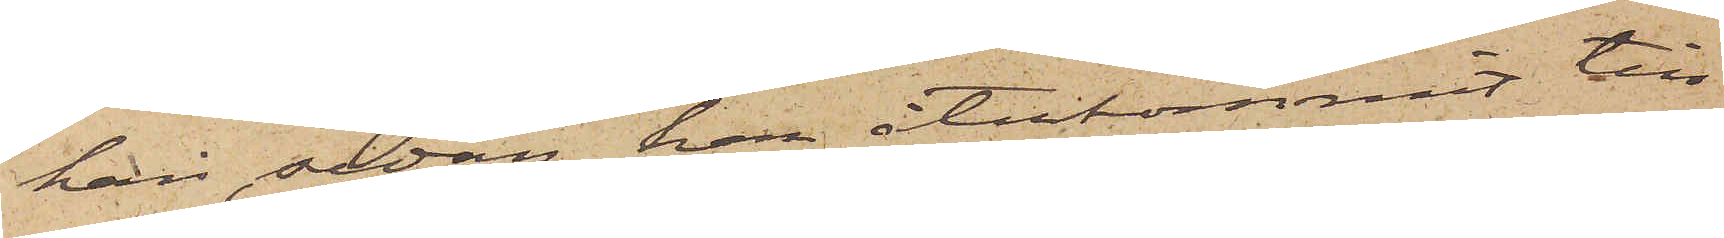han, sedan han återkommit till
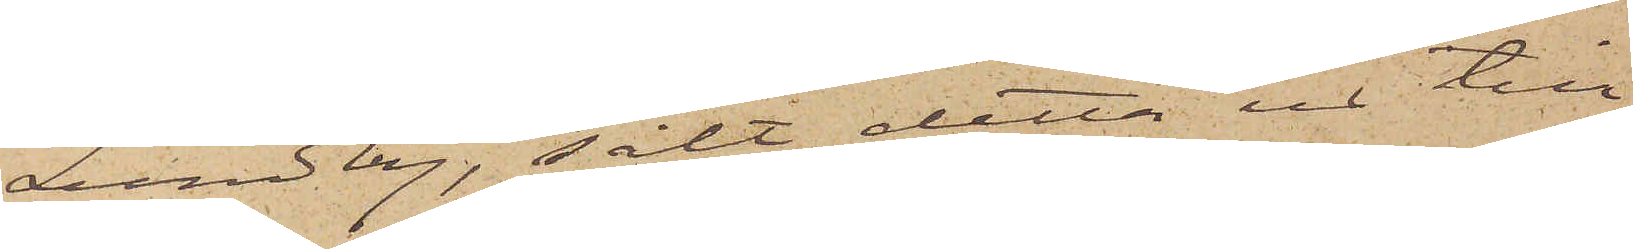Lundby, sålt detta ur till
